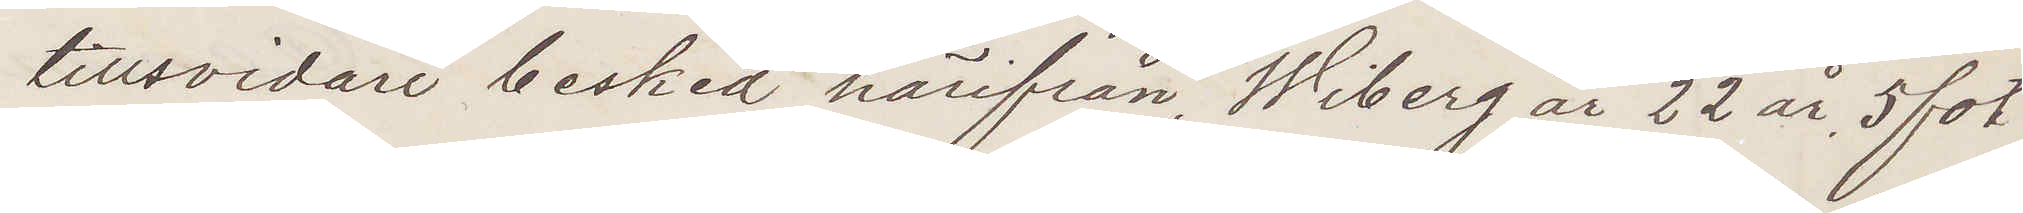tillsvidare besked härifrån, Wiberg är 22 år, 5 fot
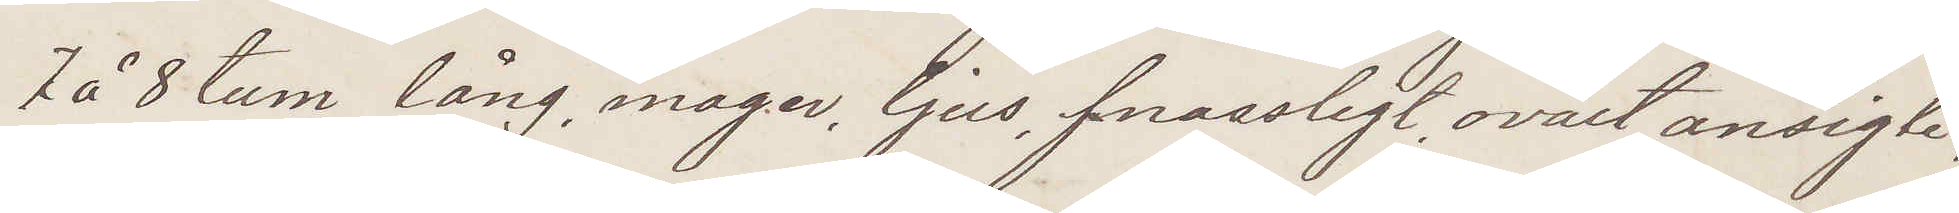7 å 8 tum lång, mager, ljus, fnassligt, ovalt ansigte,
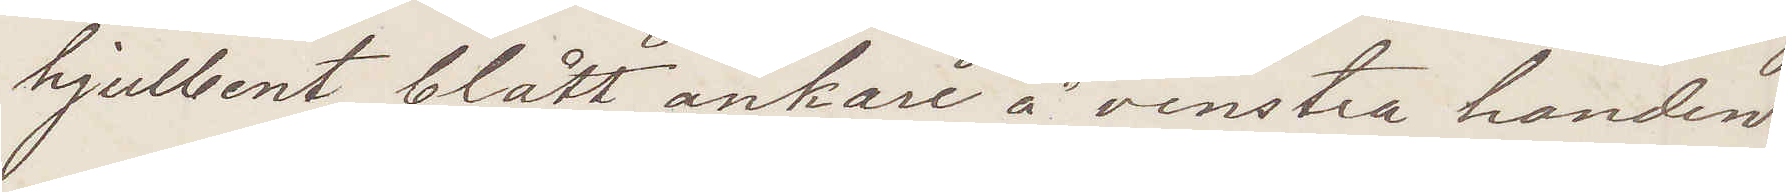hjulbent, blått ankare å venstra handen
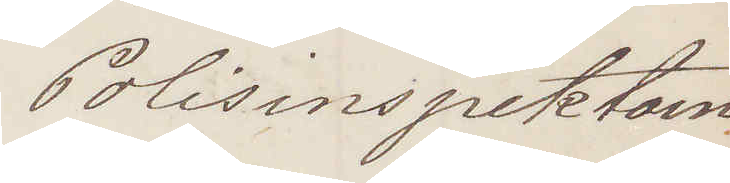Polisinspektorn
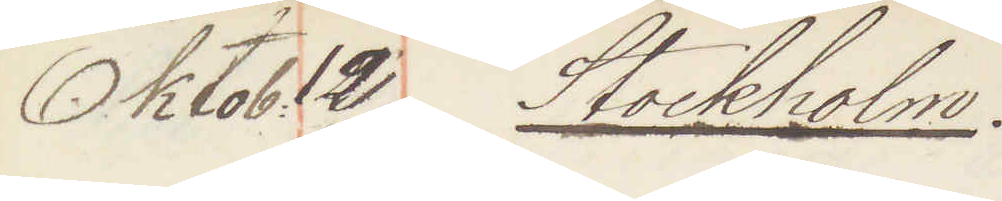Oktob: 12 Stockholm:
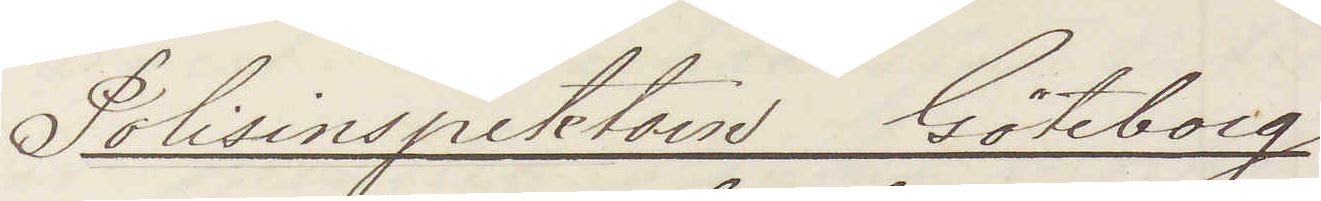Polisinspektorn Göteborg
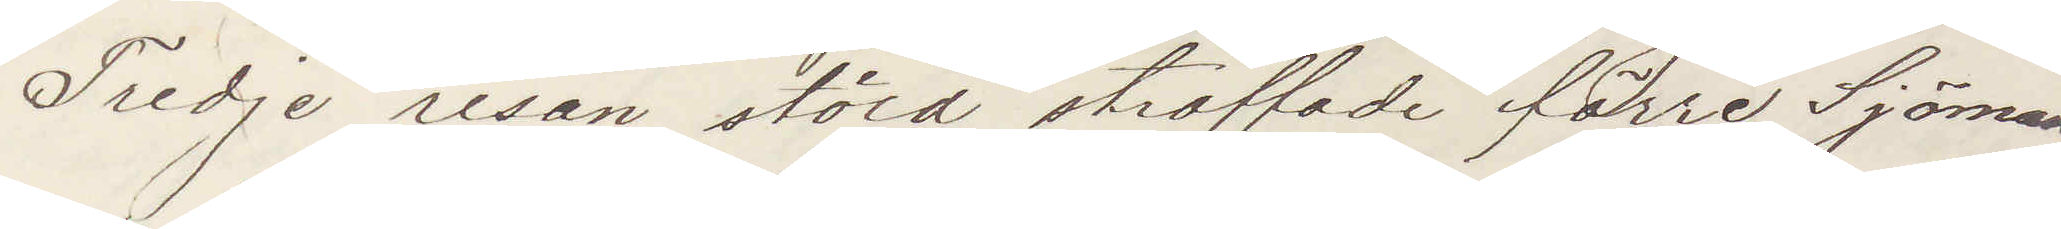Tredje resan stöld straffade förre Sjöman¬
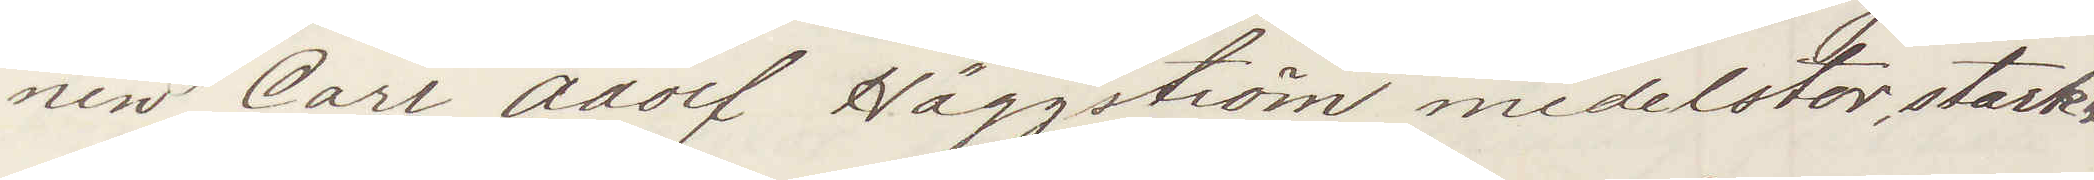nen Carl Adolf Häggström medelstor starkt
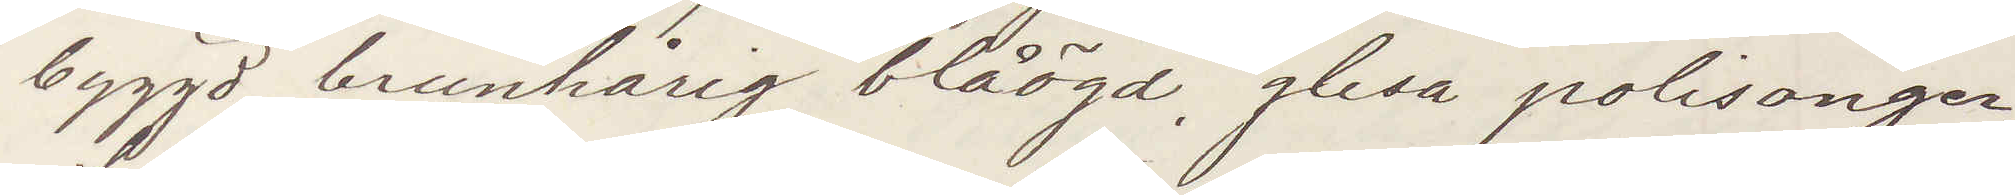byggd brunhårig blåögd glesa polisonger,
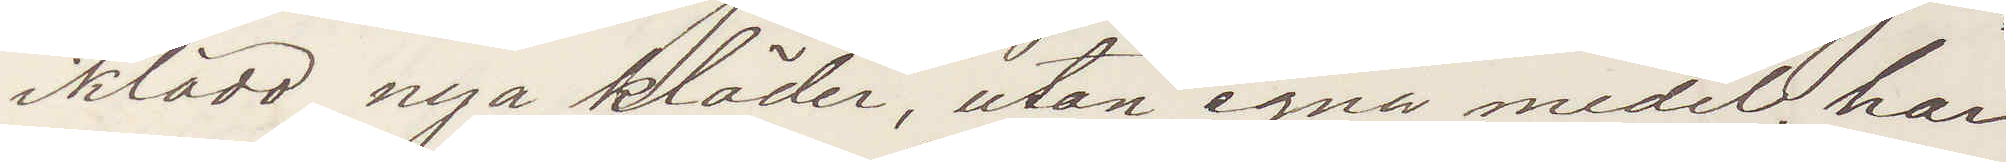iklädd nya kläder, utan egna medel, har
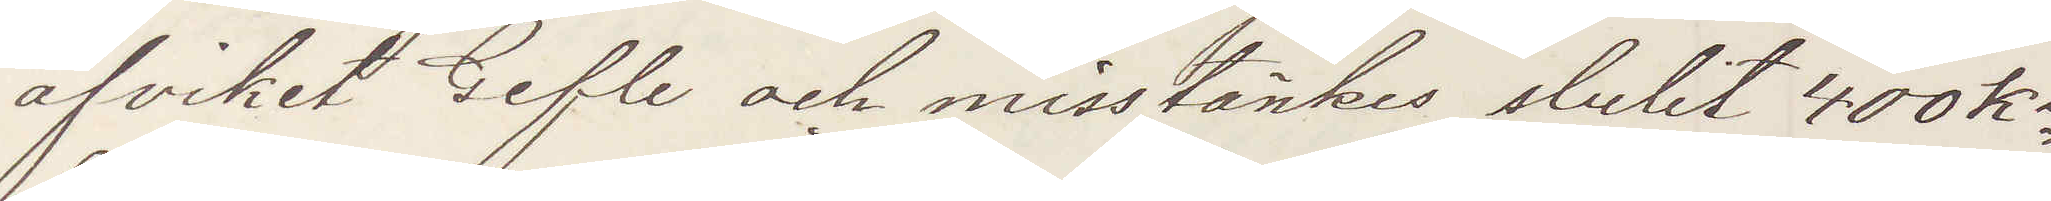afviket Gefle och misstänkes stulit 400 Kr
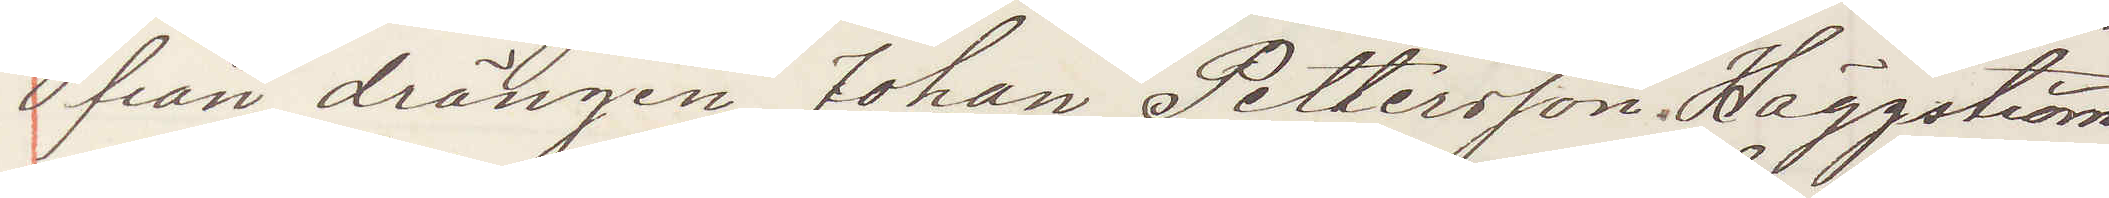från drängen Johan Pettersson; Häggström
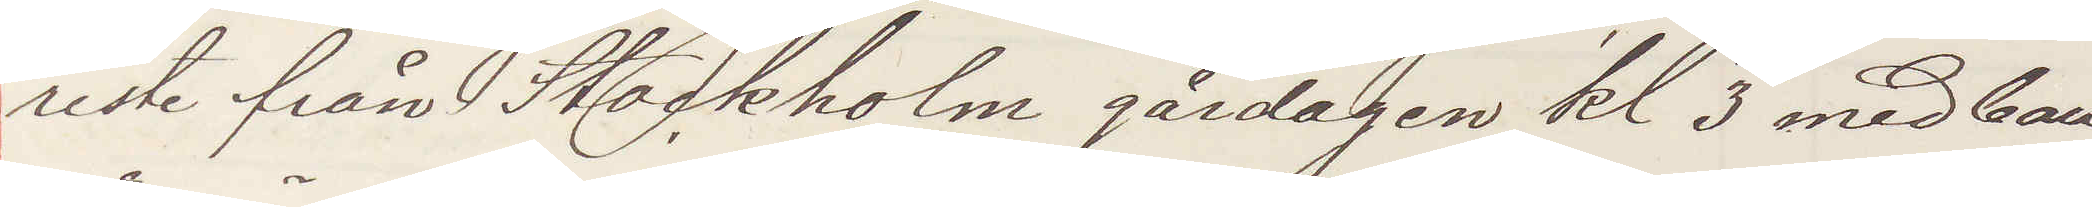reste från Stockholm gårdagen kl. 3 med ban¬
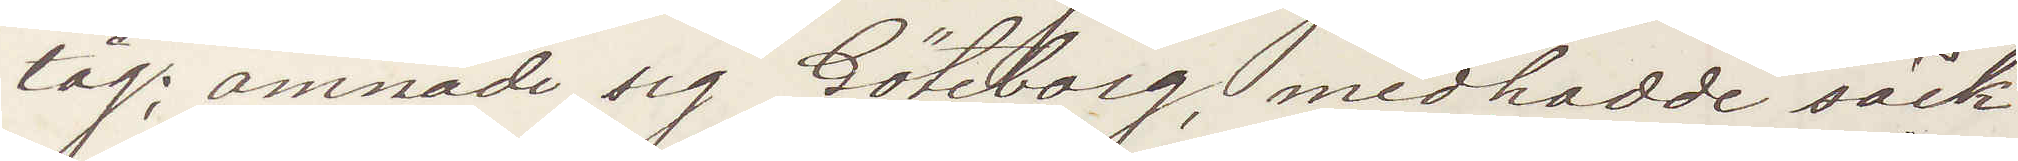tåg; ämnade sig Göteborg, medhadde säck
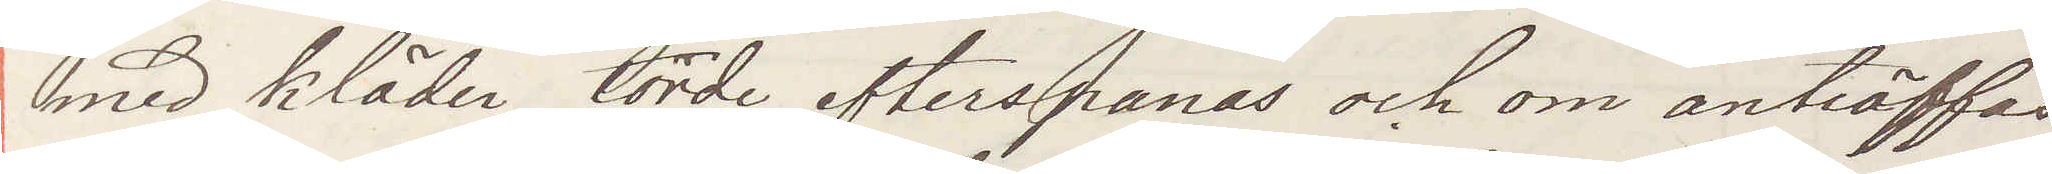med kläder, torde efterspanas och om anträffas
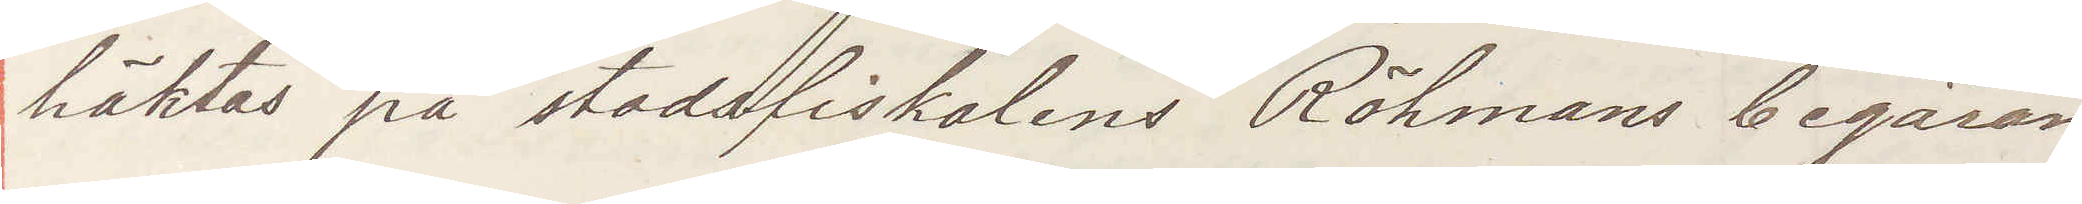häktas på stadsfiskalen Röhmans begäran
